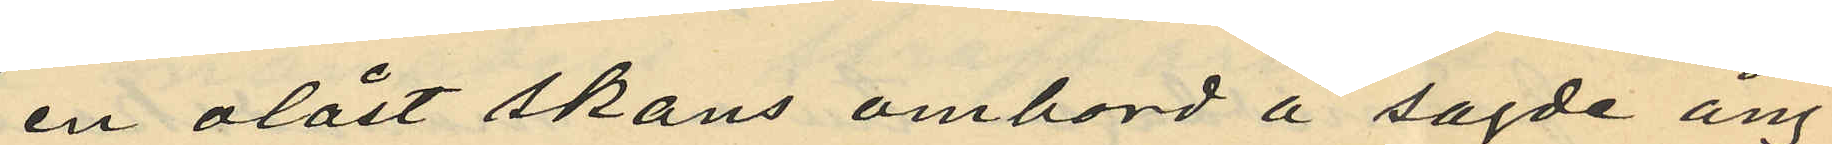en olåst skans ombord å sagde ång¬
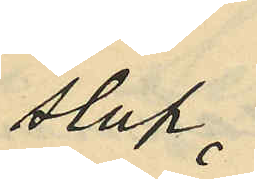slup
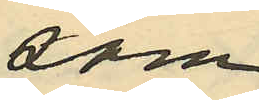som
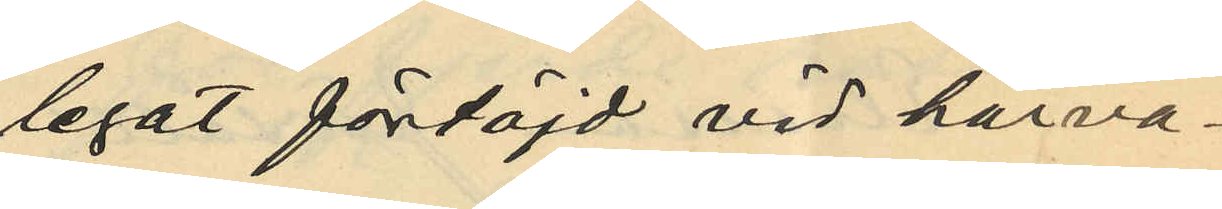legat förtöjd vid härva¬
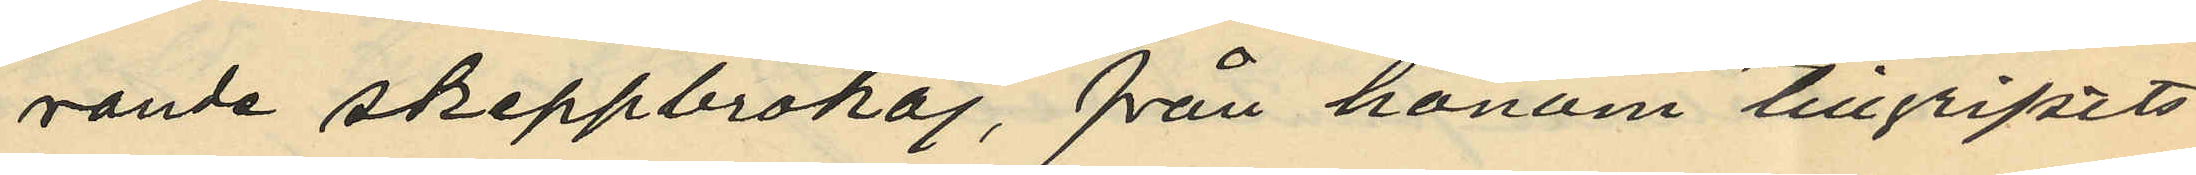rande skeppsbrokaj, från honom tillgripits
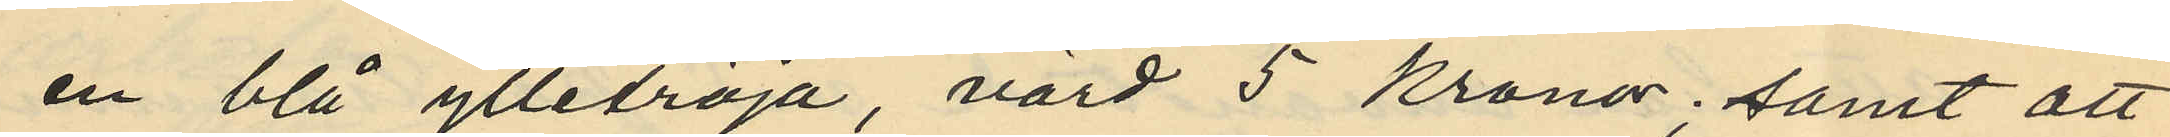en blå ylletröja, värd 5 kronor; samt att
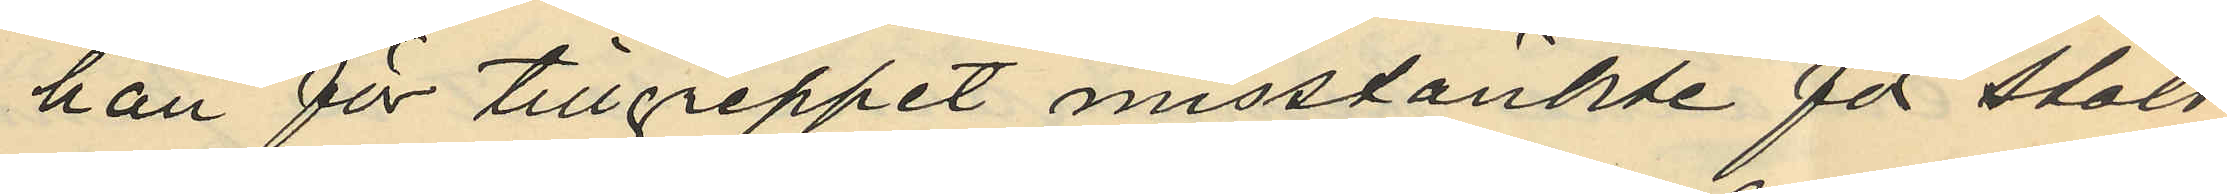han för tillgreppet misstänkte för stöld
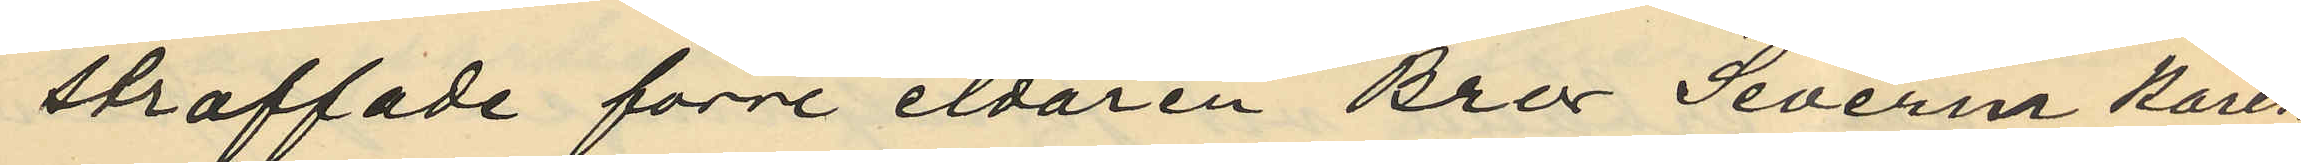straffade förre eldaren Bror Severin Karls¬
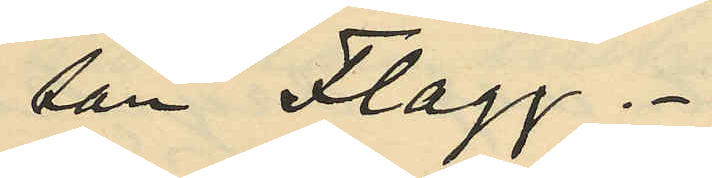son Flagg.
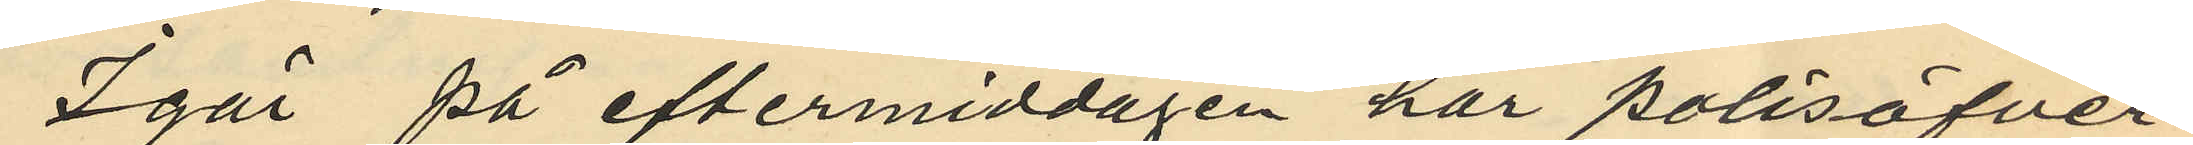Igår på eftermiddagen har polisöfver¬
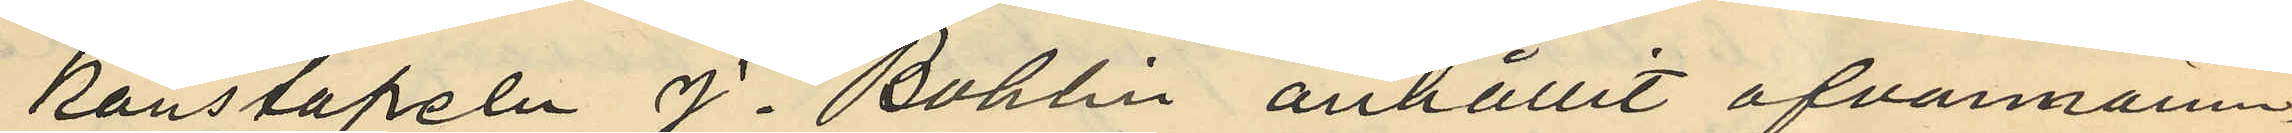konstapeln J. Bohlin anhållit ofvannämn¬
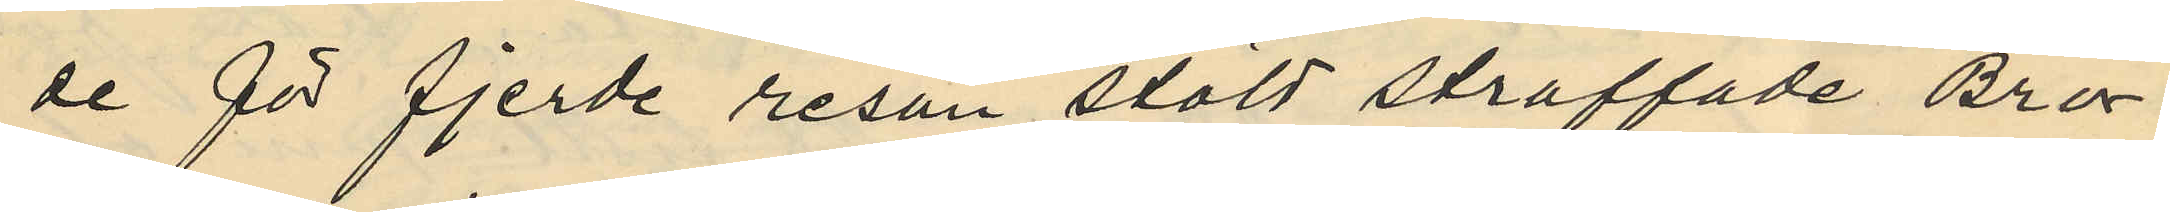de för fjerde resan stöld straffade Bror
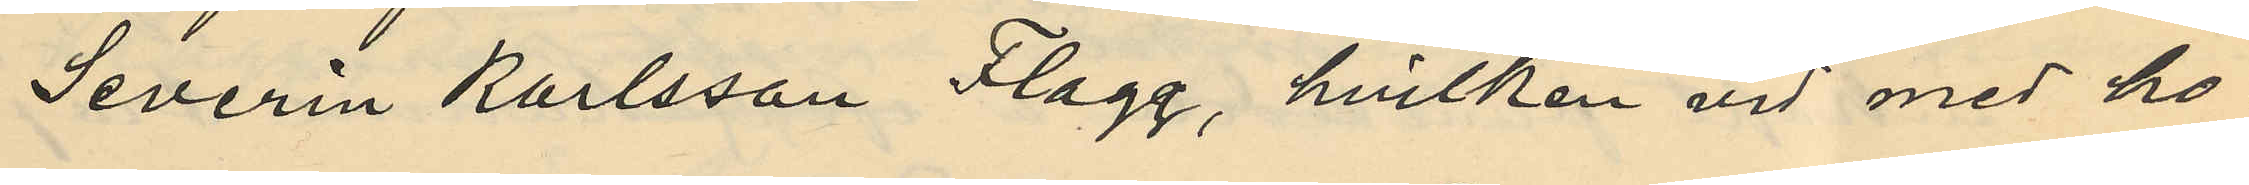Severin Karlsson Flagg, hvilken vid med ho¬
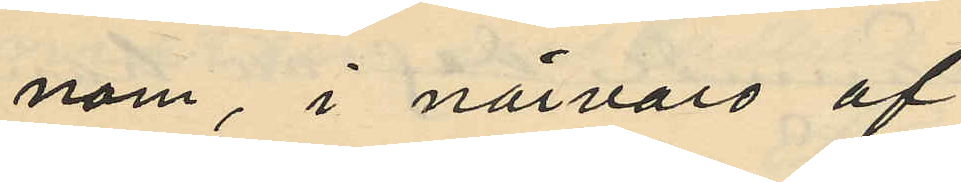nom, i närvaro af
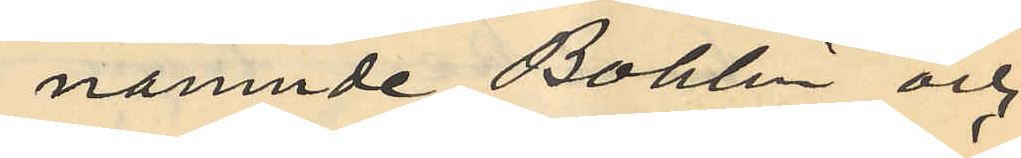nämnde Bohlin och
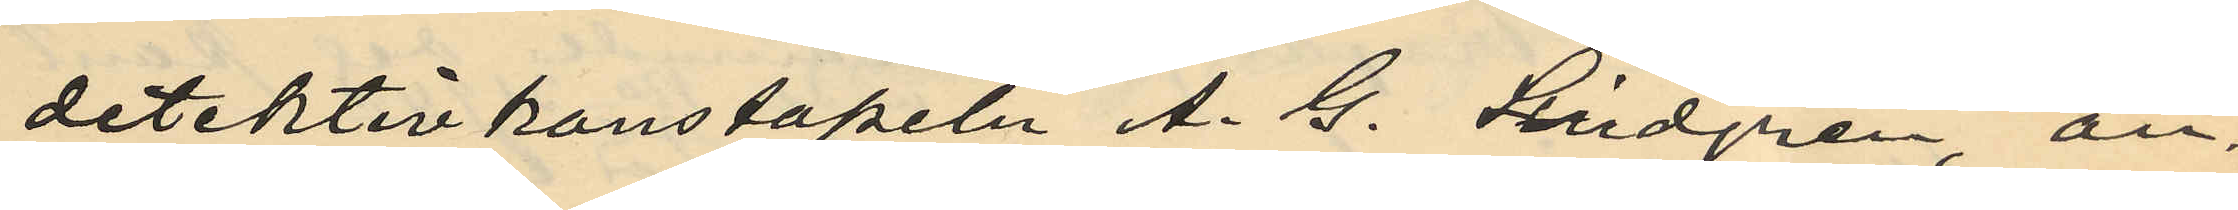detektivkonstapeln A. G. Lindgren, an¬
